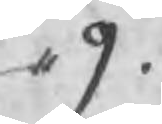,, 9.
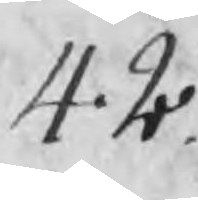42
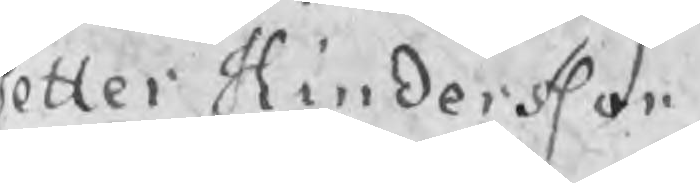Petter Hindersson
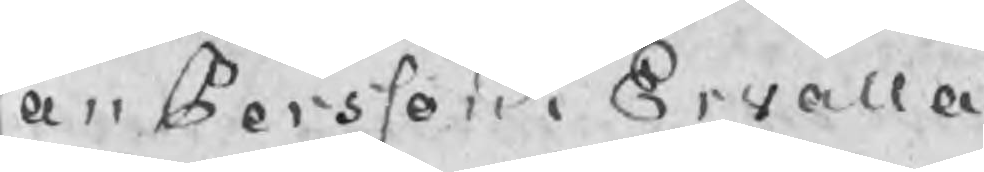Jan Persson i Ervalla
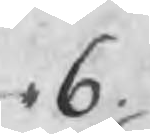,, 6.
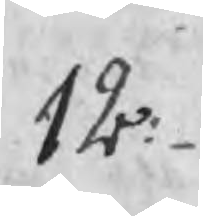12:
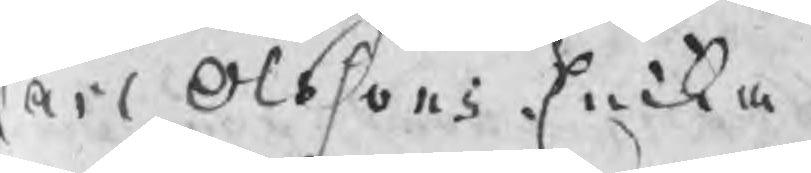Carl Olssons Encka
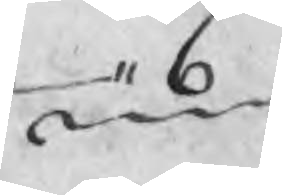,, 6
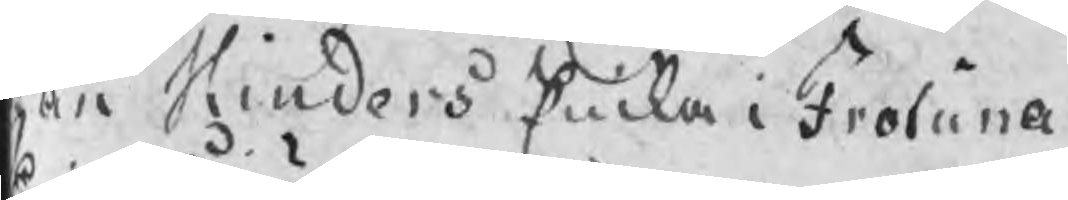Jan Hinders Encka i Frötuna
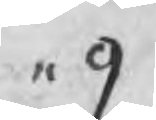,, 9
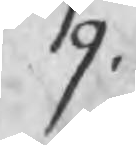,, 9.
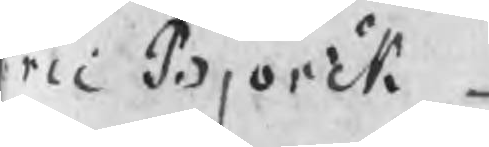Eric Björck
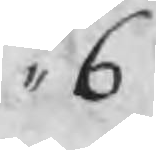,, 6 
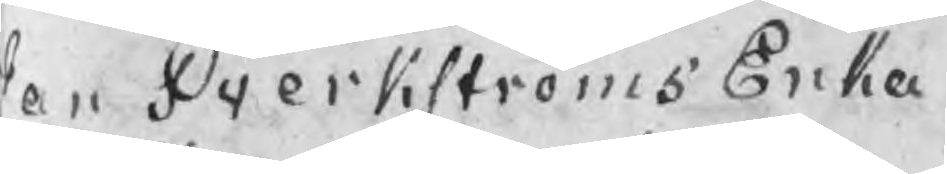Jan Sverkströms Enka
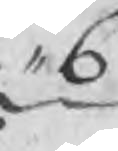,, 6
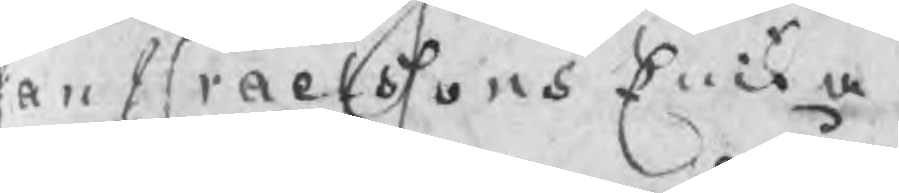Jan Israelssons Encka
